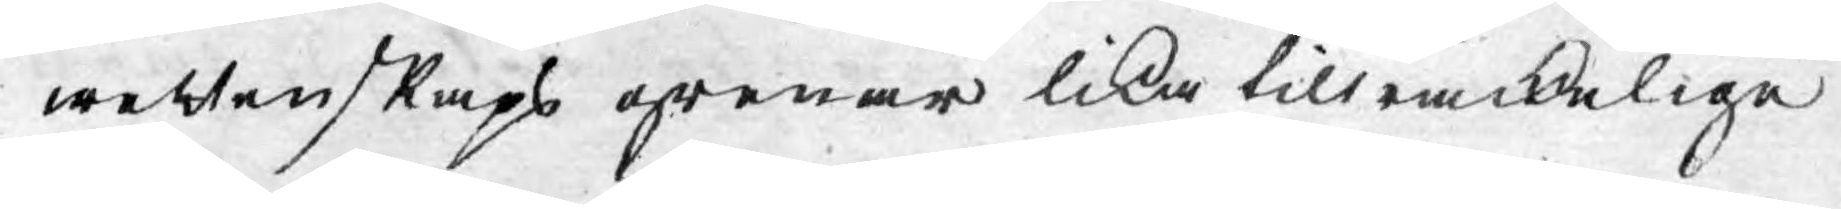wettenskaps grenar lika tillräckelige
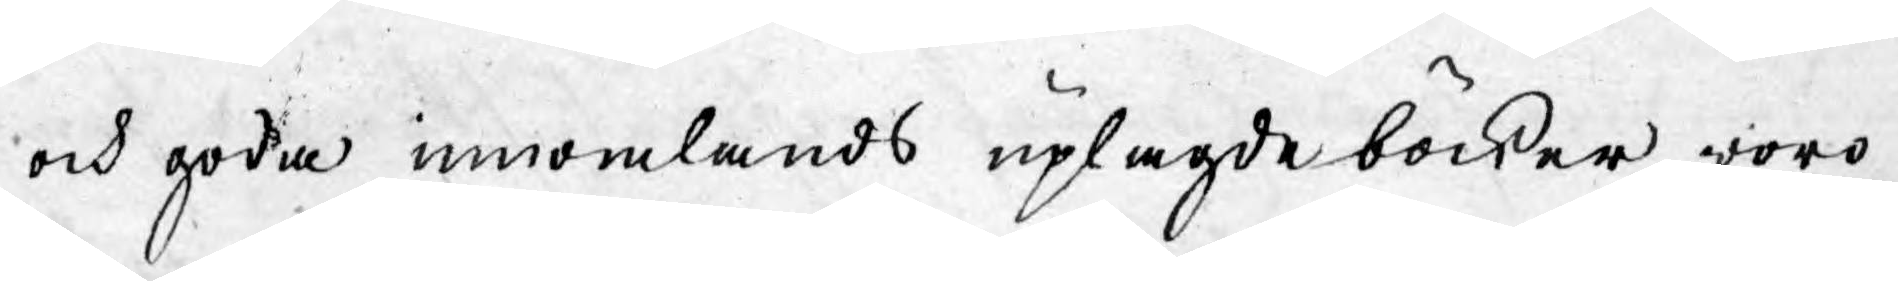och goda inomlands uplagde böcker woro
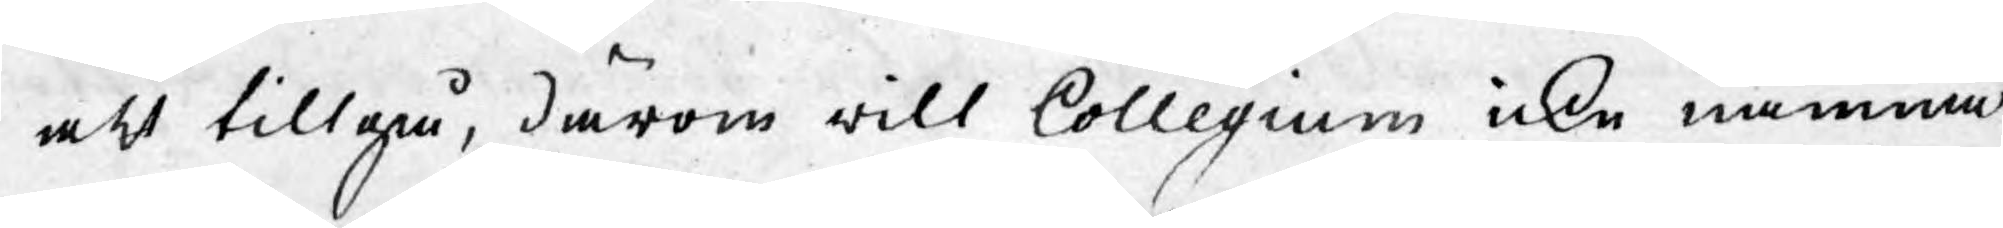att tillgå, därom will Collegium icke nämna
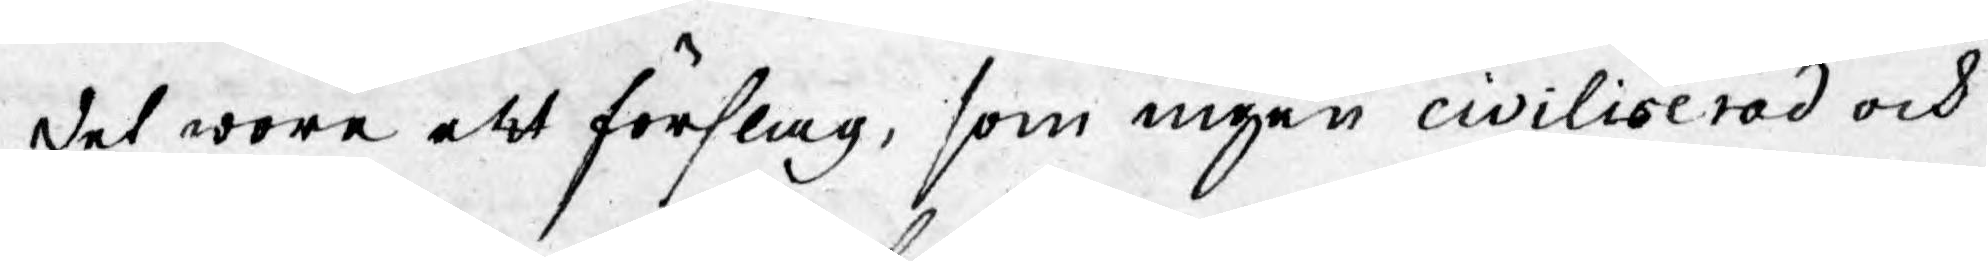det som ett förslag, som ingen civiliserad och
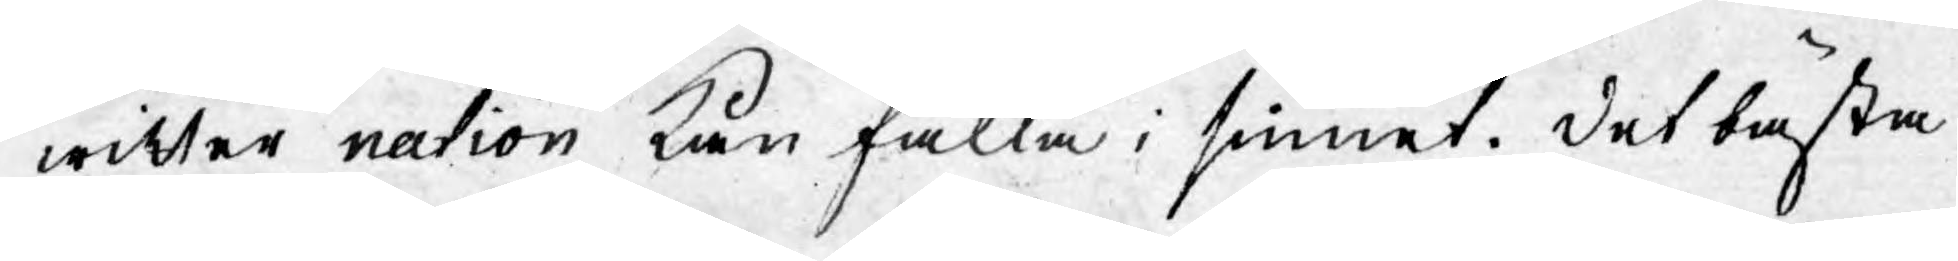witter nation kan falla i sinnet. Det bästa
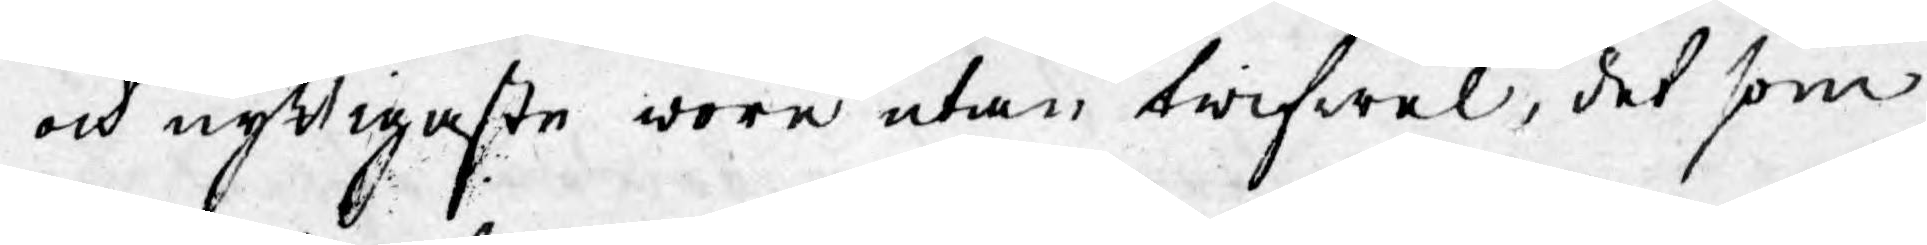och nyttigaste wore utan twifwel, det som
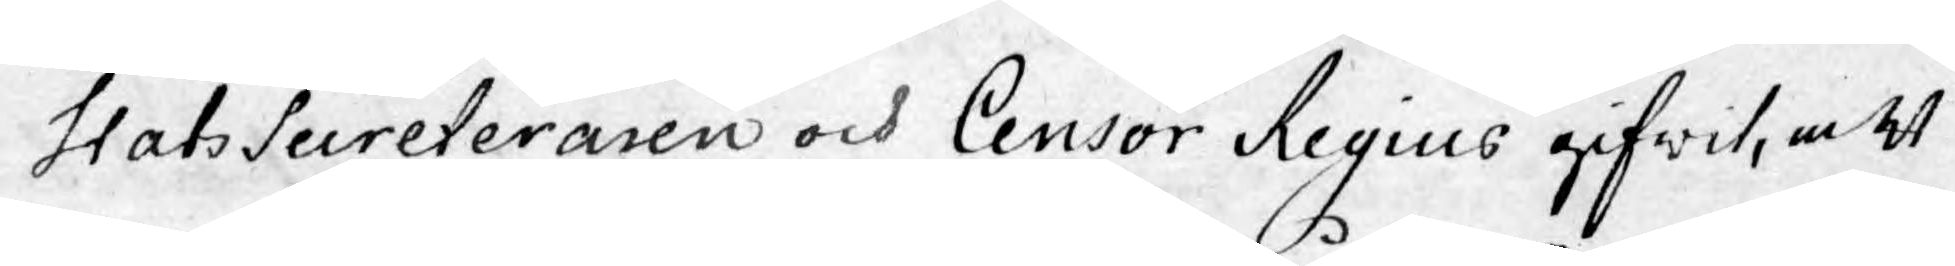StatsSecreteraren och Censor Regius gifwit, att
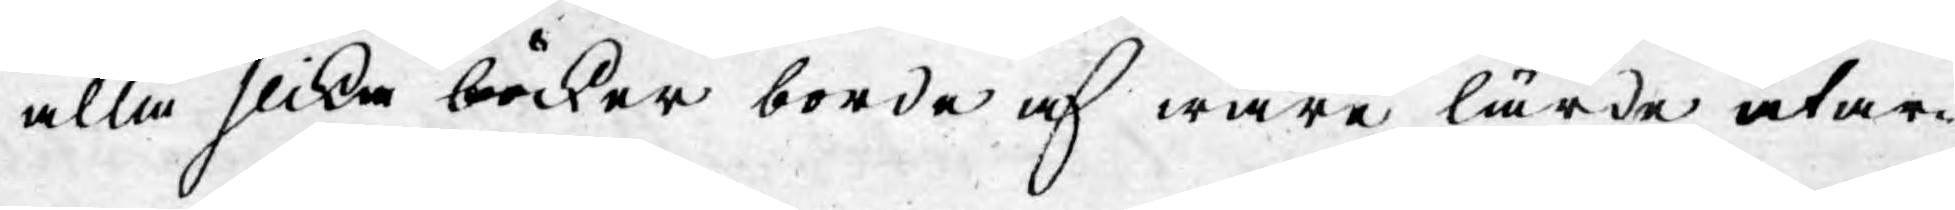alla slika böcker borde af wåra lärde utar¬
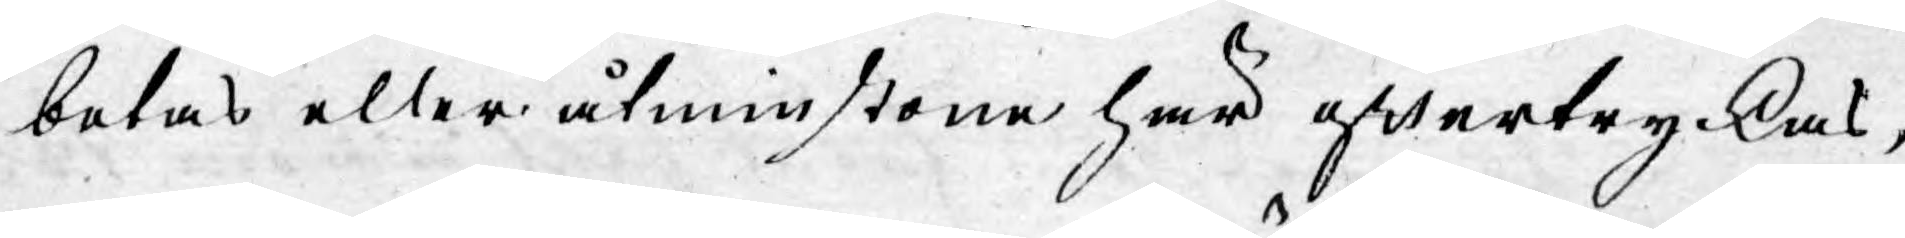betas eller åtminstone här eftertryckas,
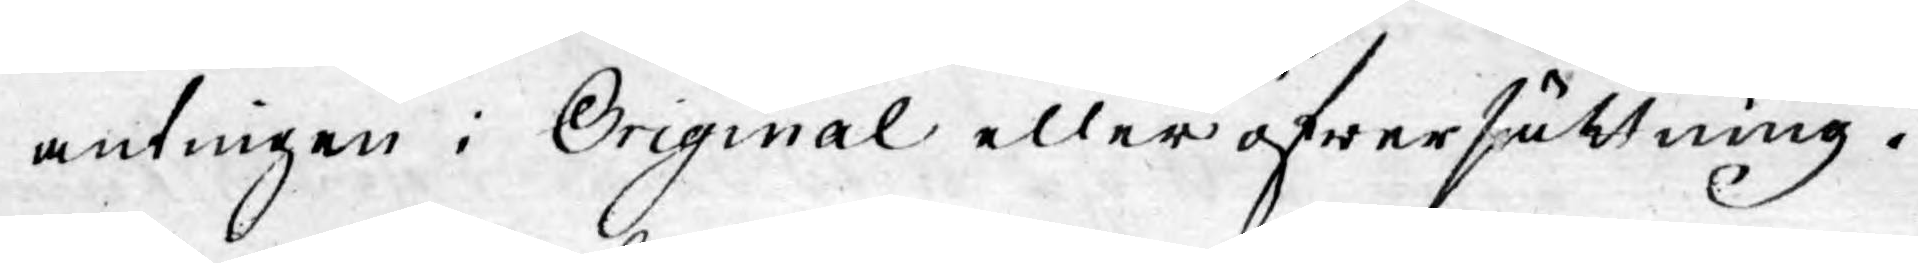antingen i Original eller öfwersättning.
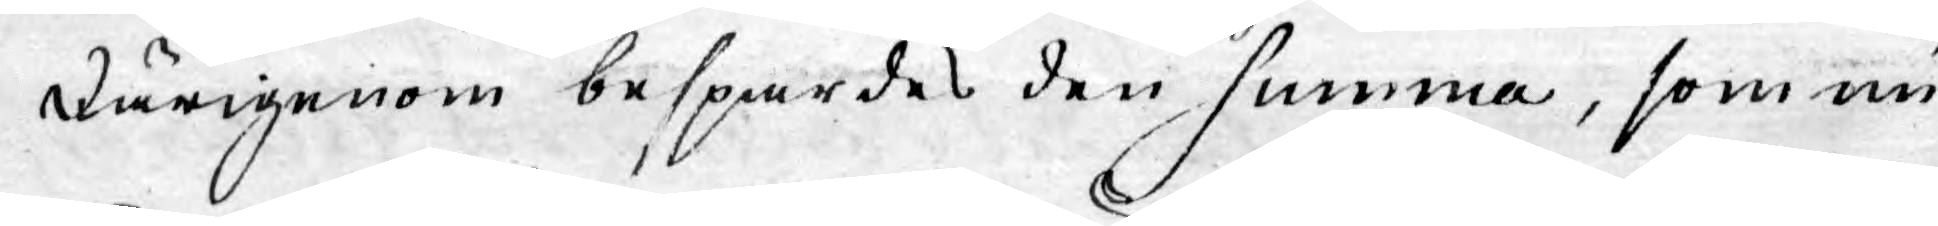Därigenom besparades den summa, som nu
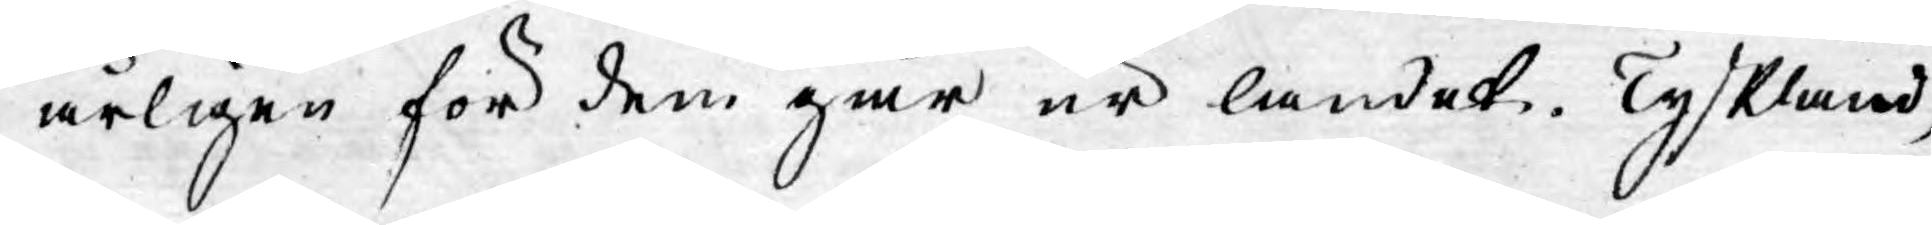årligen för dem går ur landet. Tyskland,
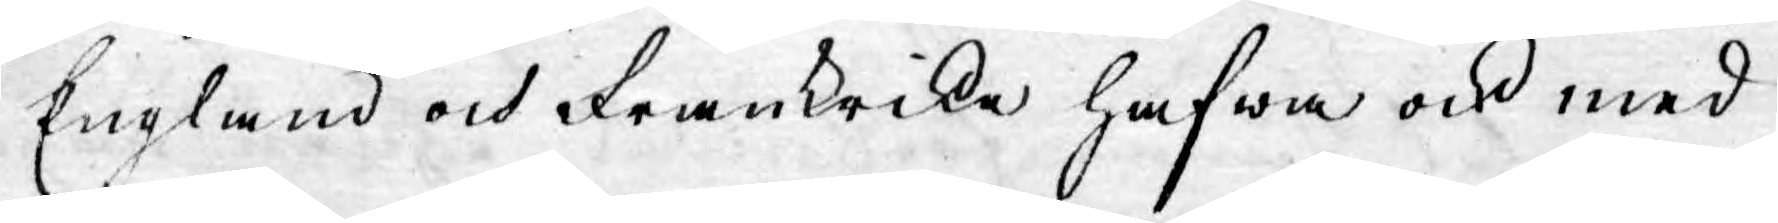England och Frankrike hafwa ock med
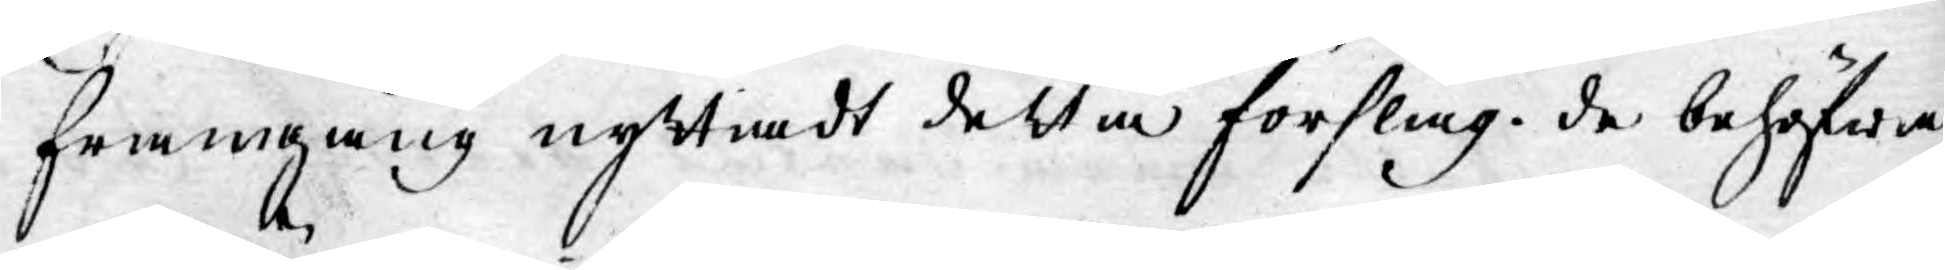framgång nyttiadt detta förslag. de behöfwa
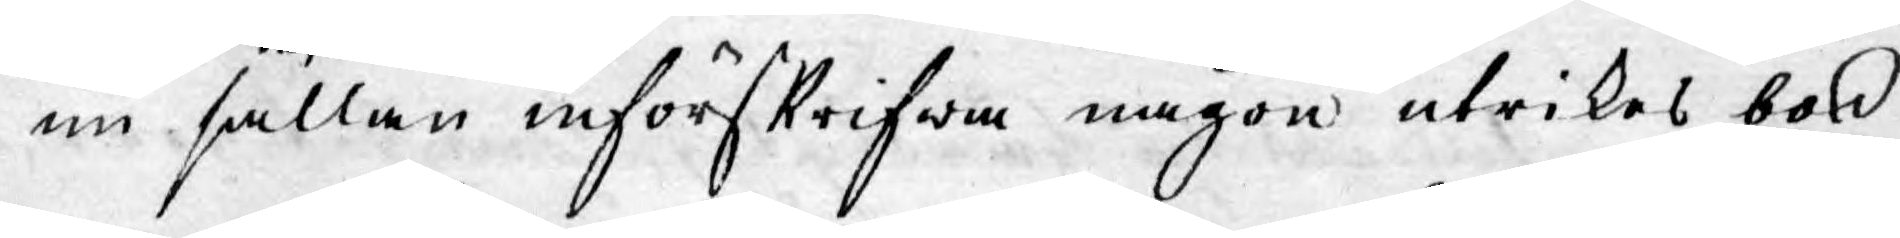nu sällan införskrifwa någon utrikes bok
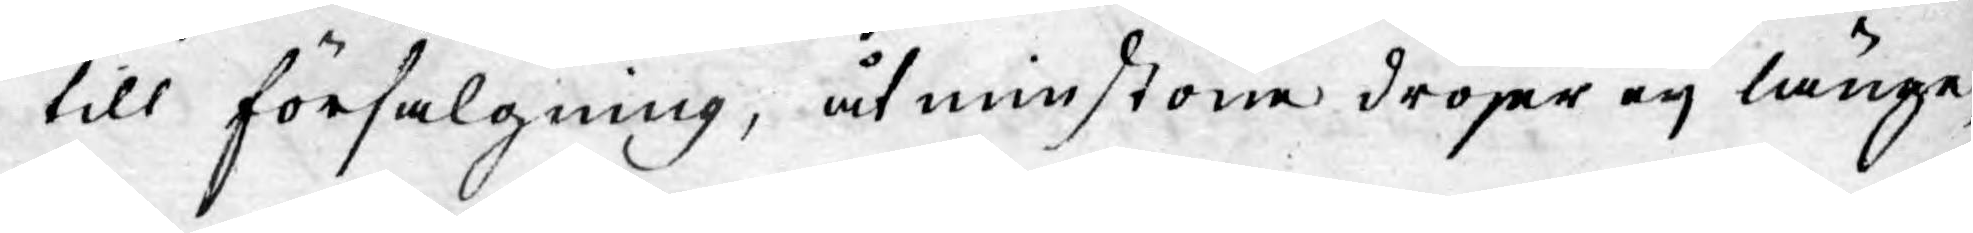till försäljning, åtminstone dröjer eij länge,
